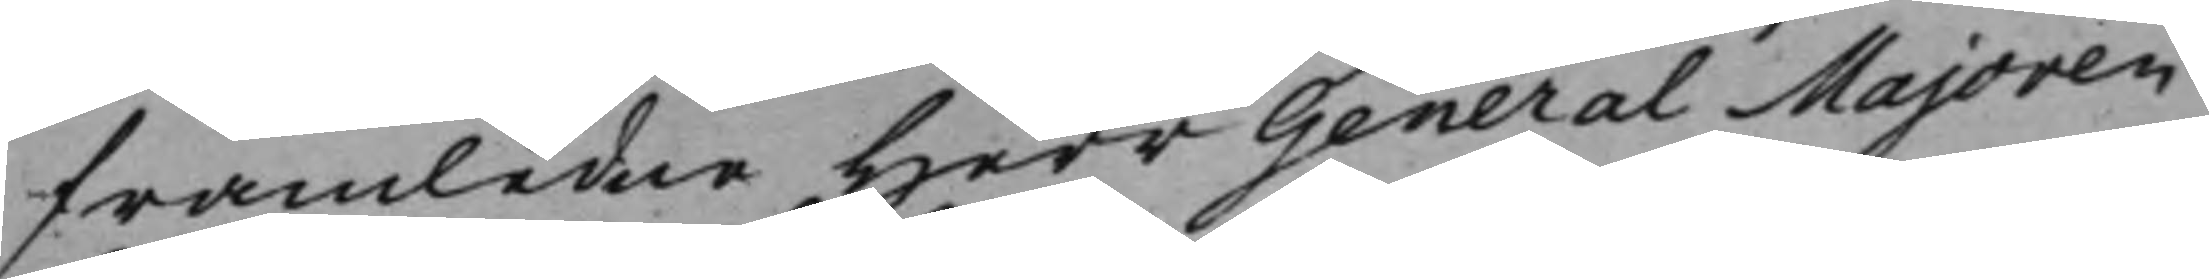framledne Herr GeneralMajoren
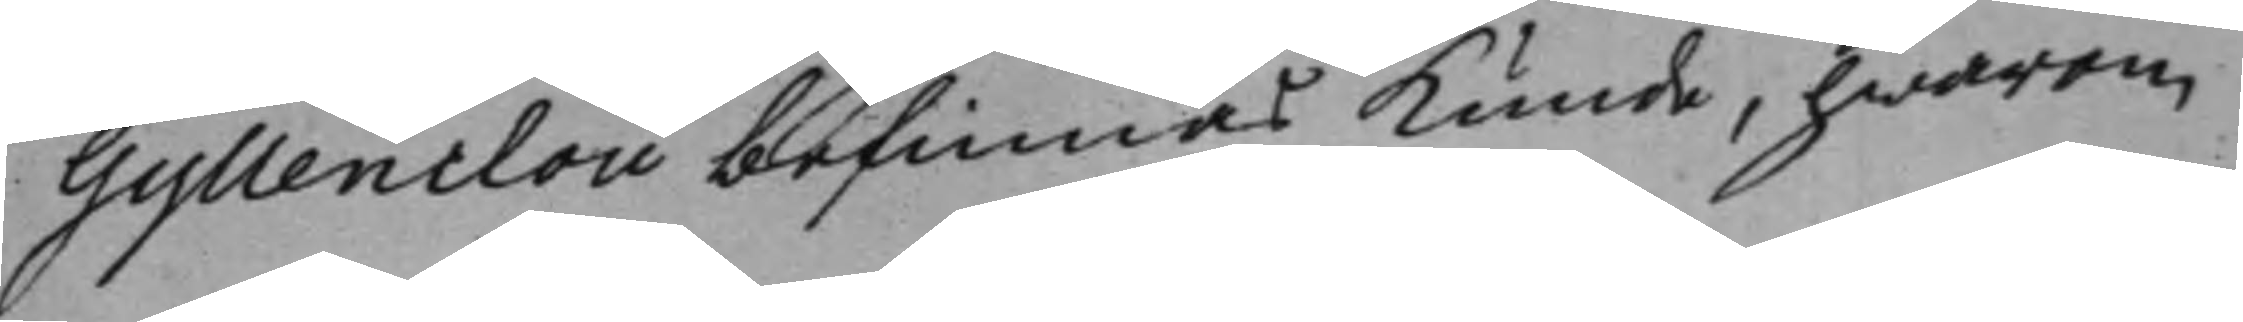Gyllenclou befinnes kunde, hwarom
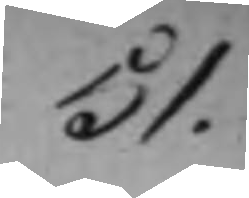51.
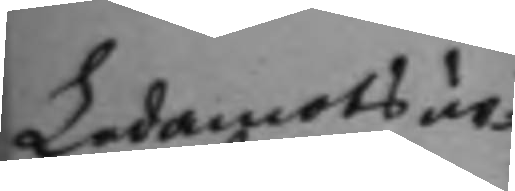Ledamots ur¬ 
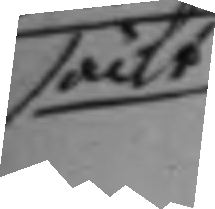säckt
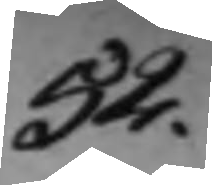54.
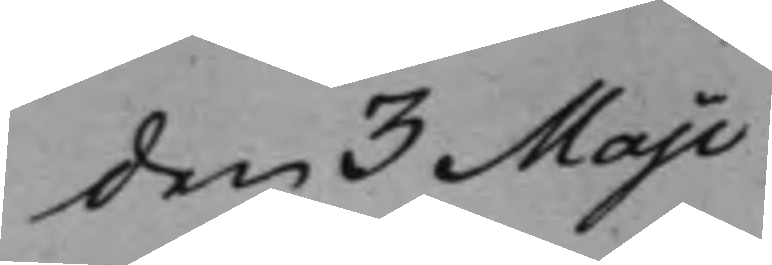den 3 Maji
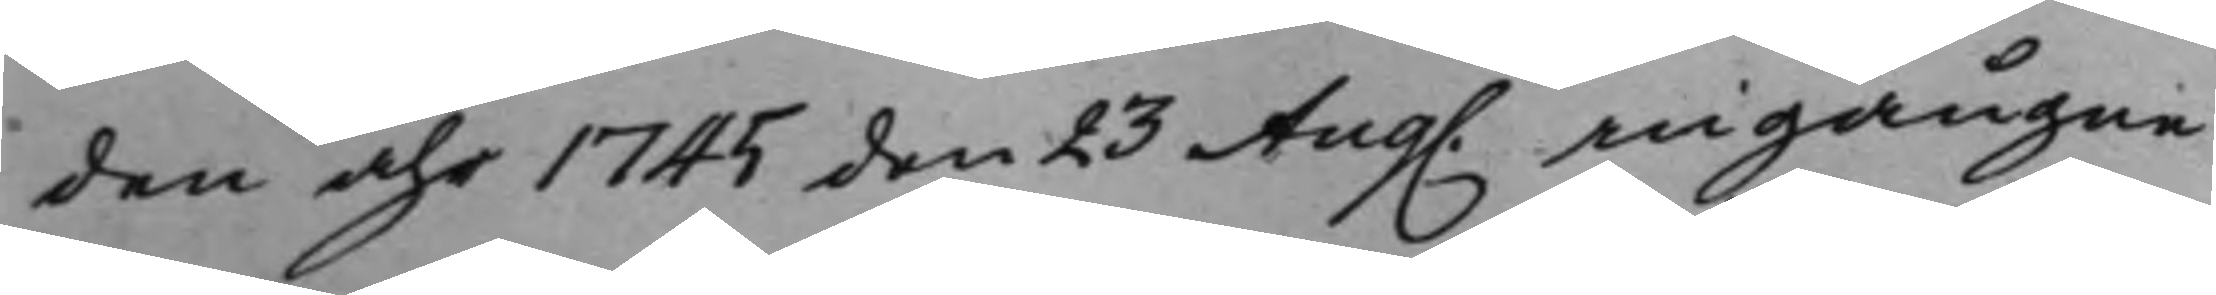den åhr 1745 den 23 Aug. ingångne 
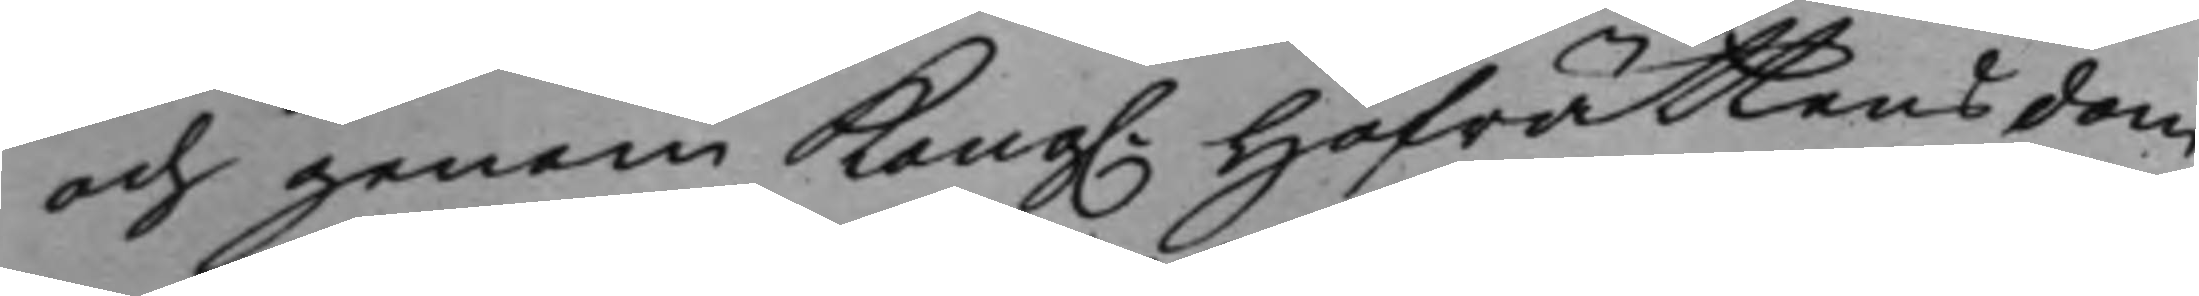och genom Kong. Hofrättens dom 
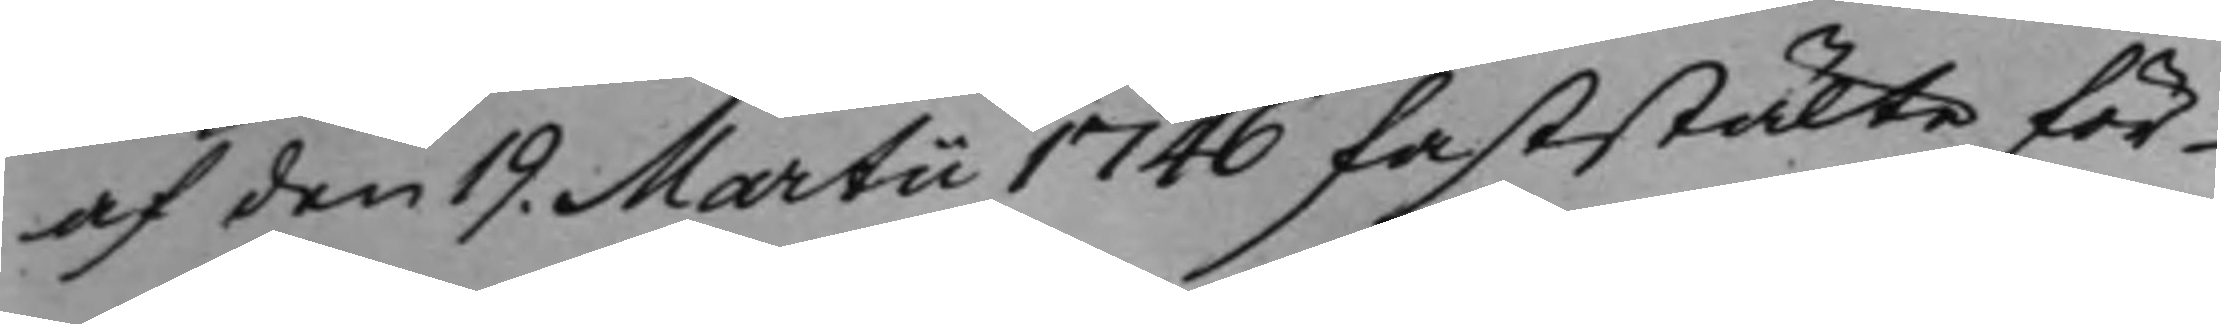af den 19. Martii 1746 faststälte för¬
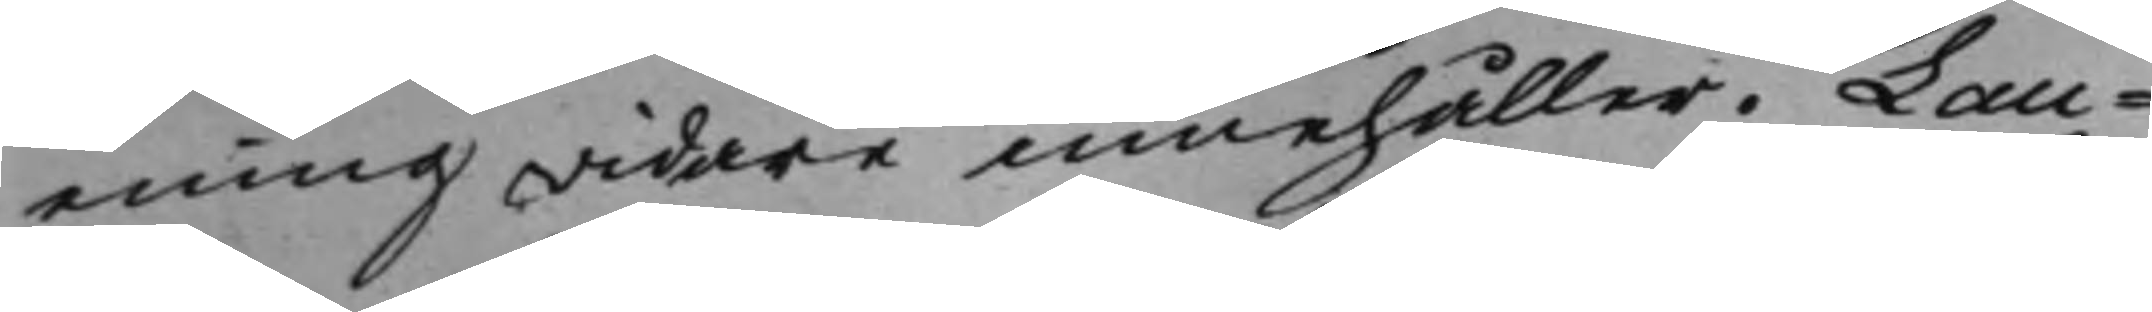ening widare innehåller. Lau¬
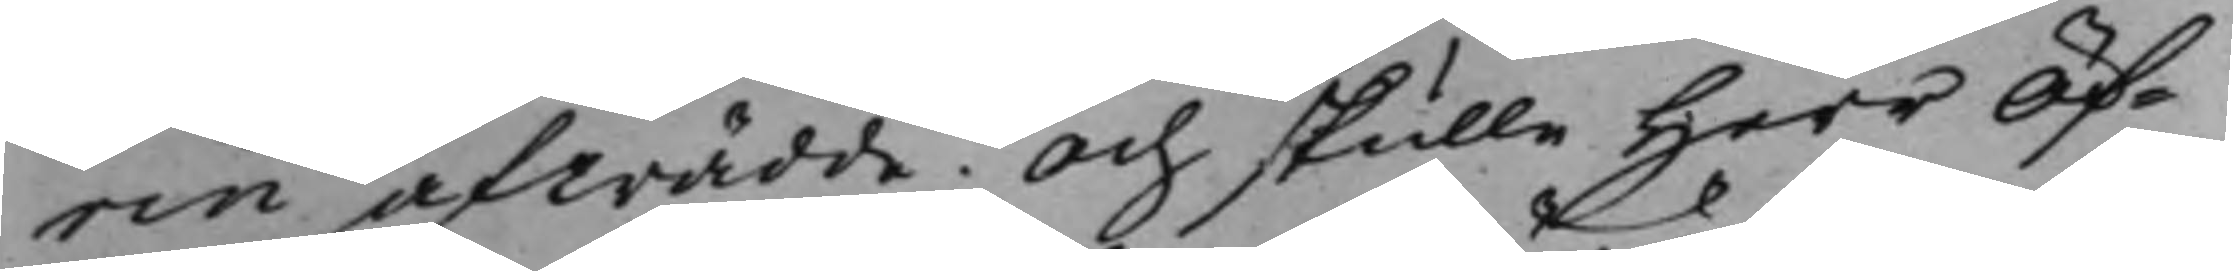rin afträdde. Och skulle Herr Öf¬
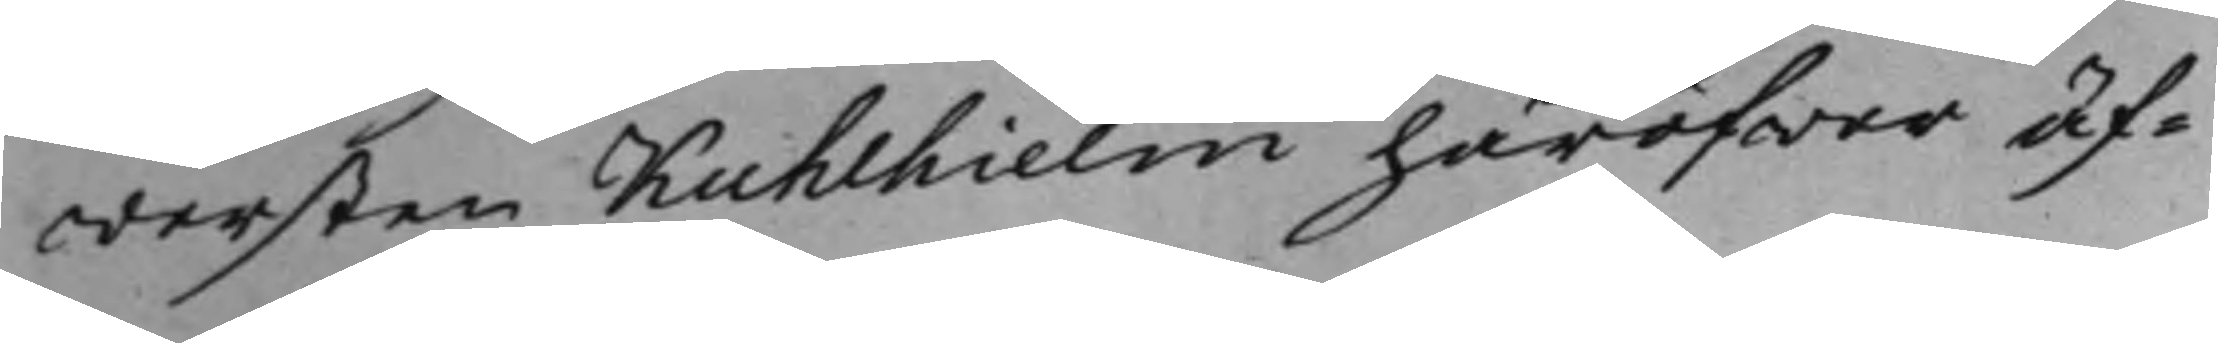wersten Kuhlhielm häröfwer äf¬
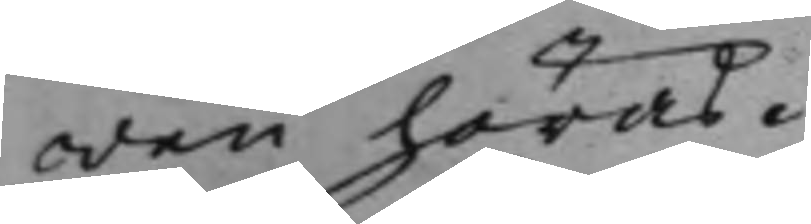wen höras.
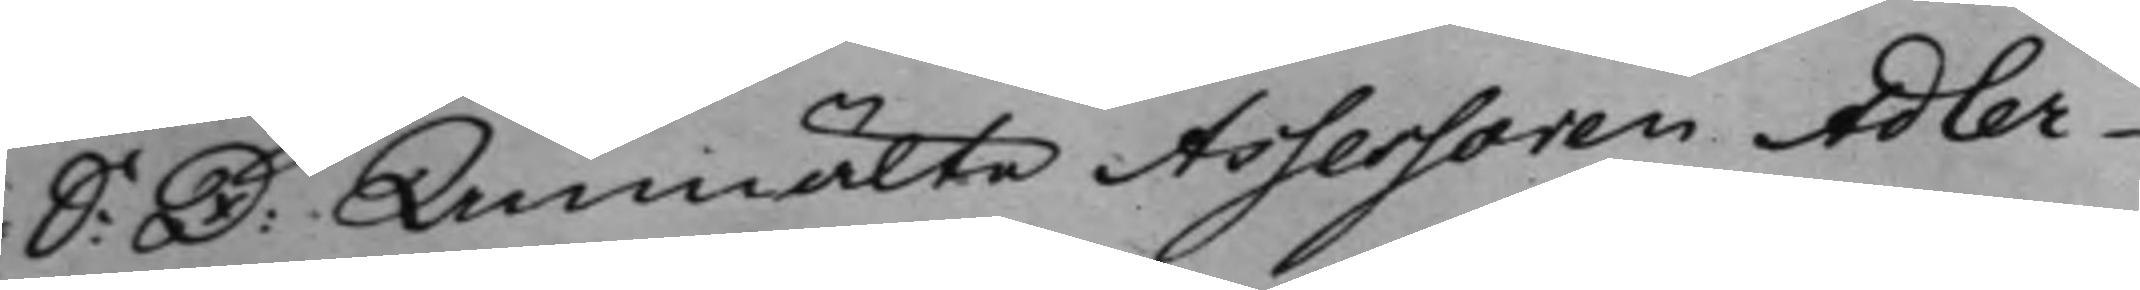S: D: Anmälte Assessoren Adler¬ 
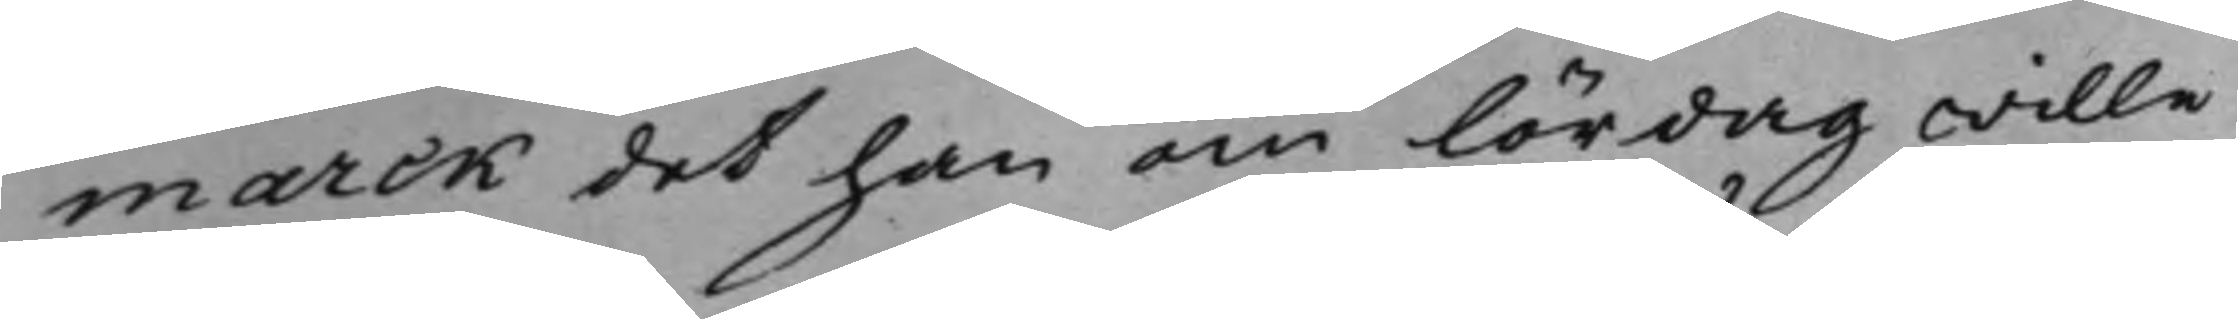marck det han om lördag wille
